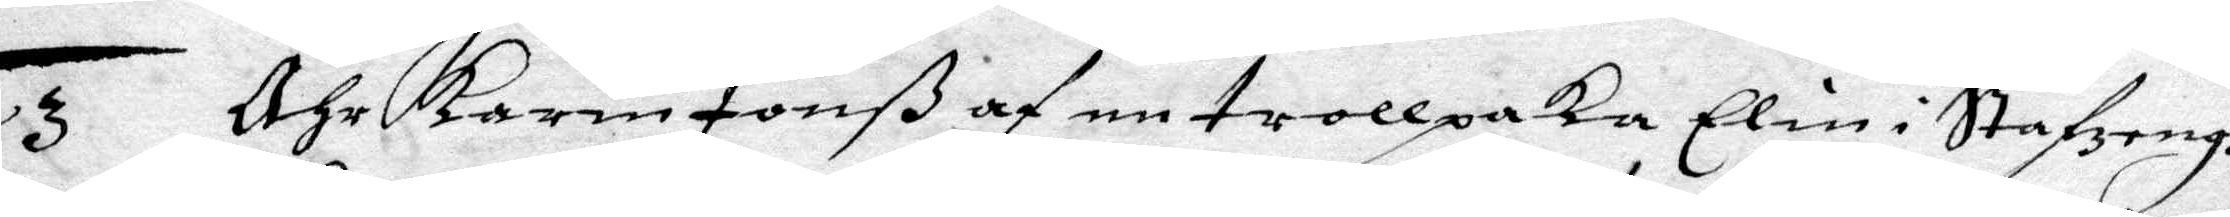3 Ähr Karin Jonß af en trollpaka Elin i Stafzengh
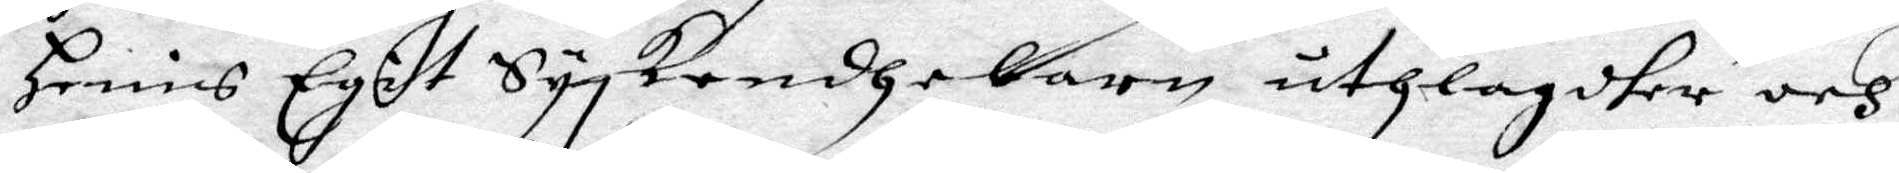Henis Egit Syskondebarn uthlagdher och
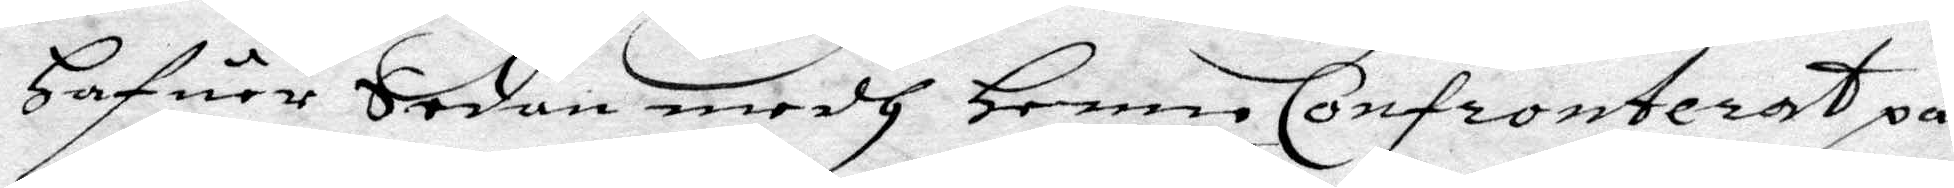Hafuer Sedan medh Henne Confronterat på
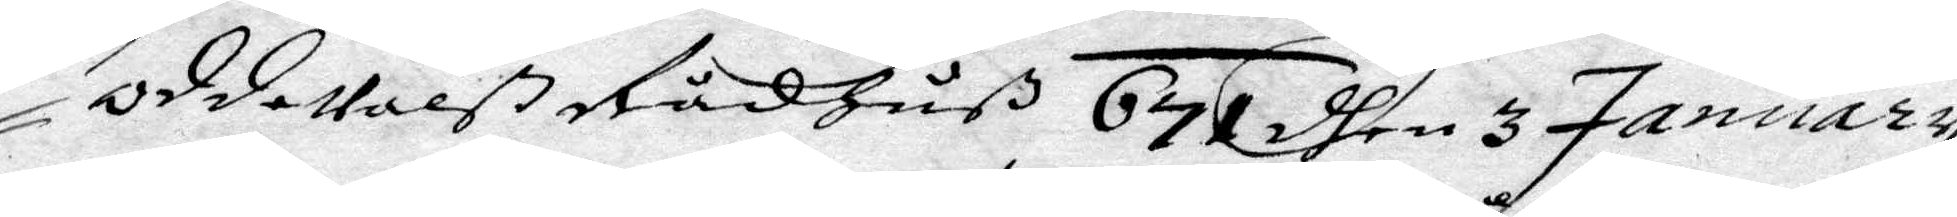OddeValß Rådhuß 671 dhen 3 January
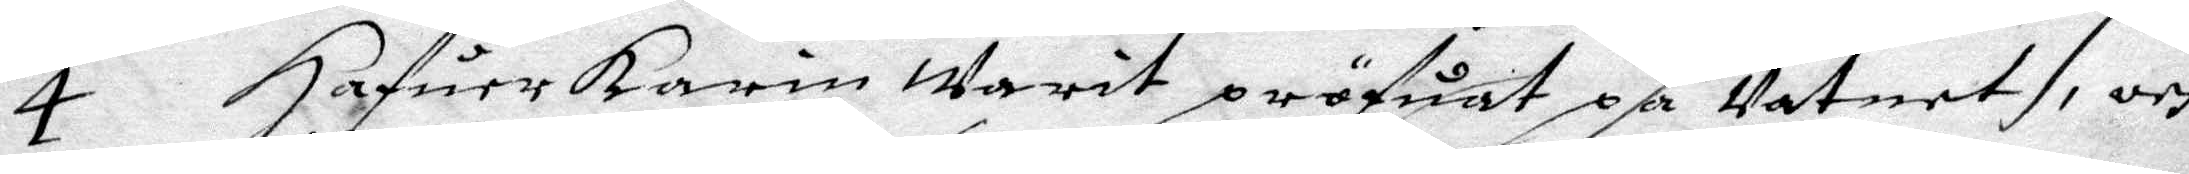4 Hafuer Karin warit pröfwat på Vatnet, och
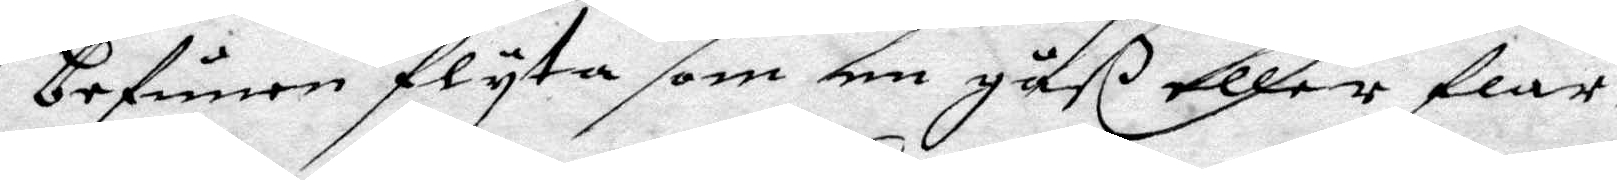befunnen flyta som en gåß eller flar,
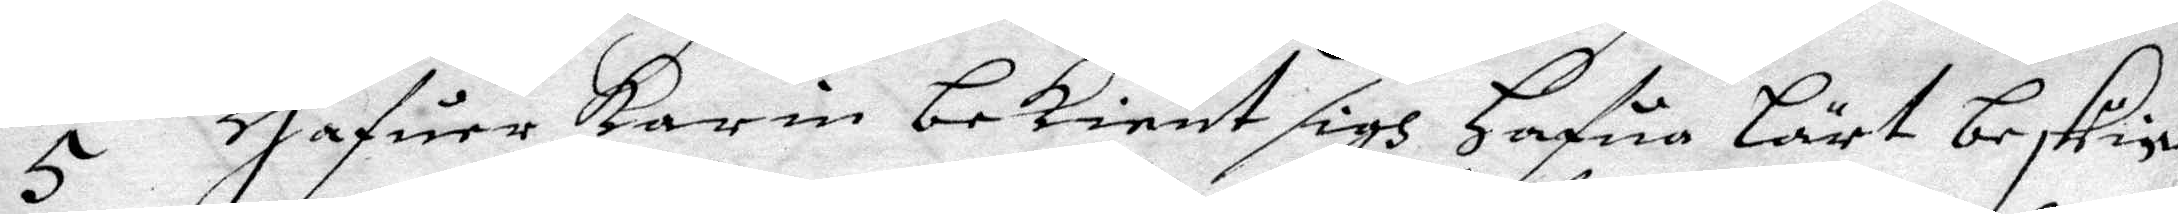5 Hafuer Karin bekient sigh Hafua Lärt beskin¬
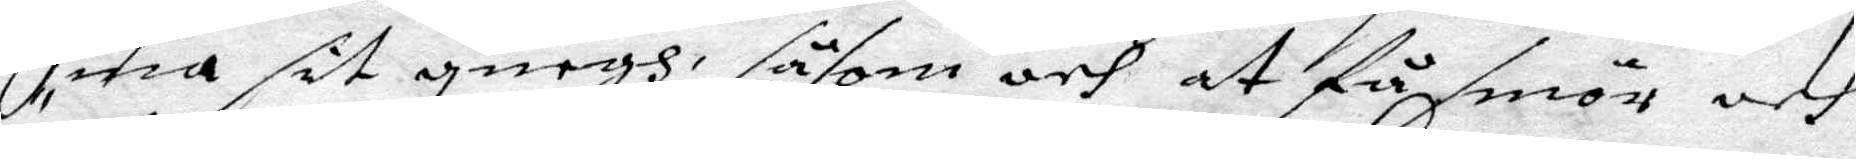na sit quegh såsom och få smör och
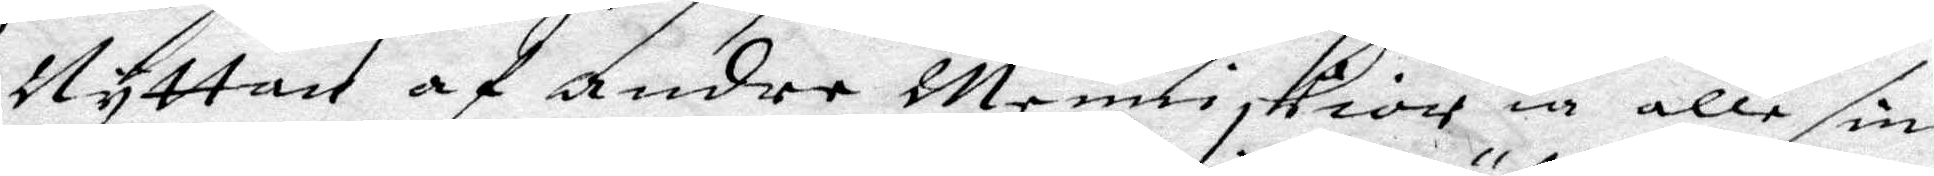Nyttan af andre Menniskior ia alle sine
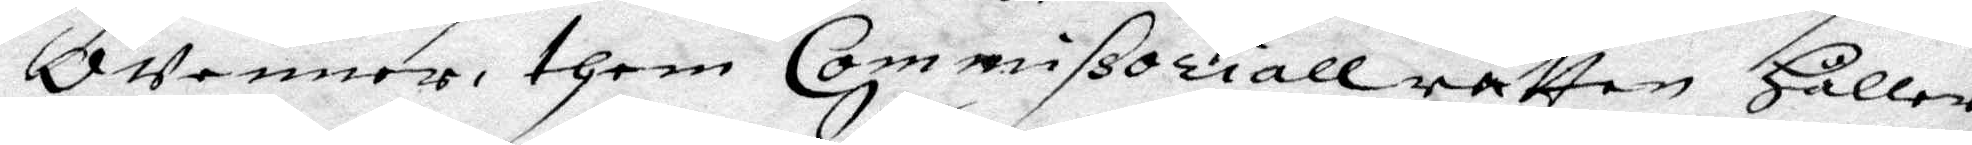OVenner, them Commissorialrätten Håller
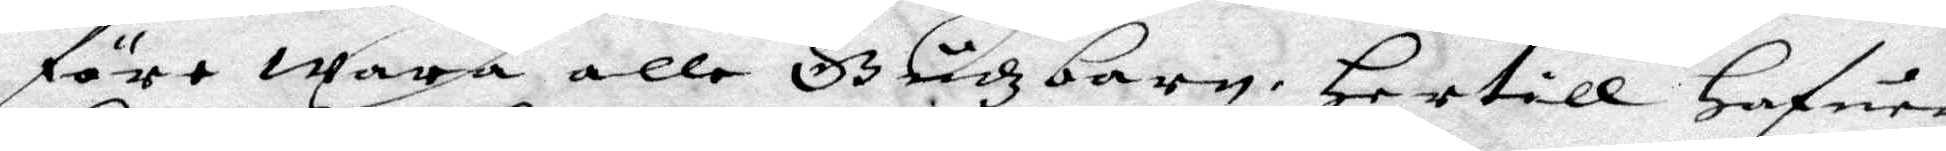före wara alle Gudzbarn, Hertill hafue
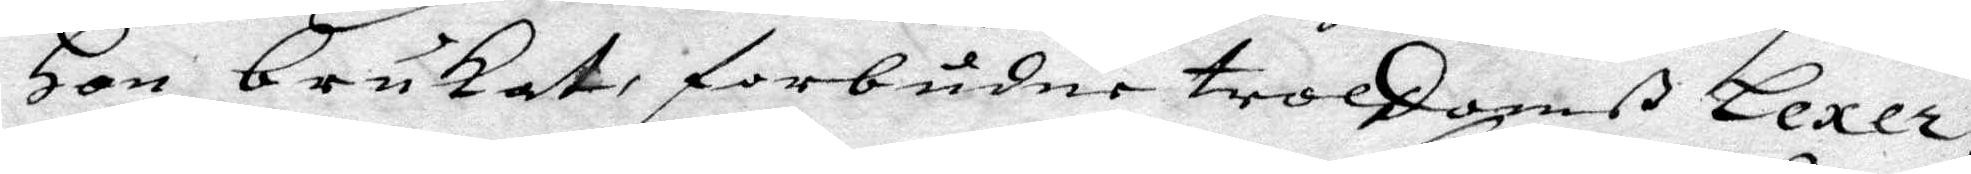Hon brukat, forbudne troldomß Lexer,
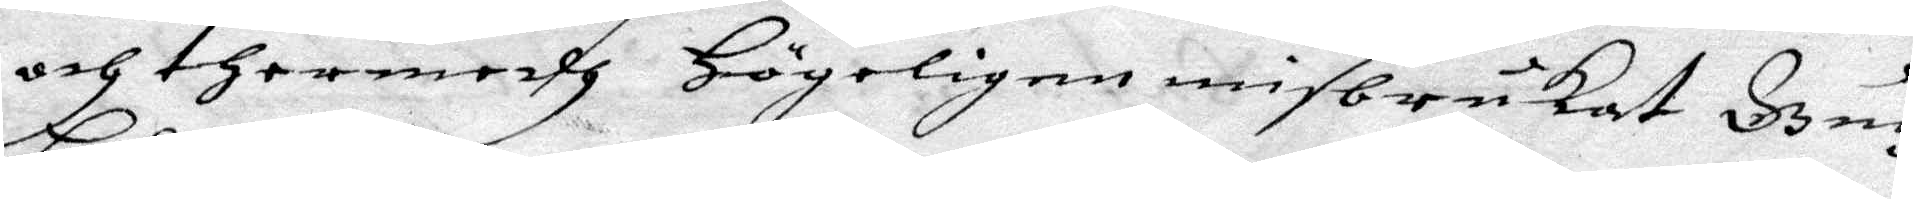och thermedh Högeligen misbrukat Gudhz
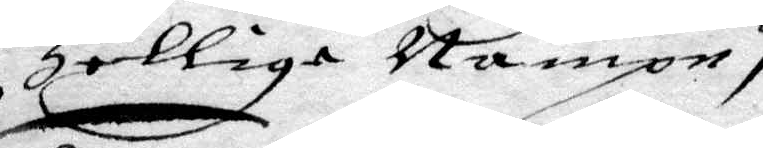Hellige nampn,
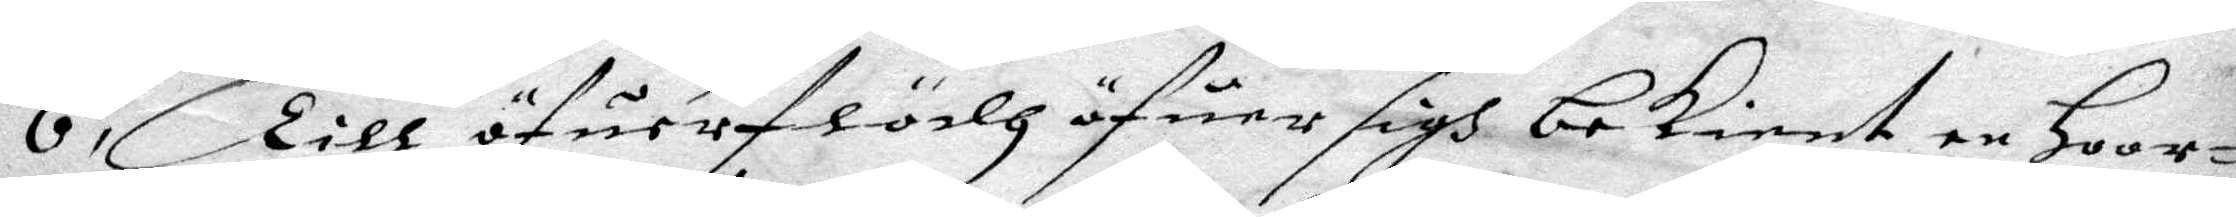6 Till öfuerflödh öfuer sigh bekient en Hoor¬
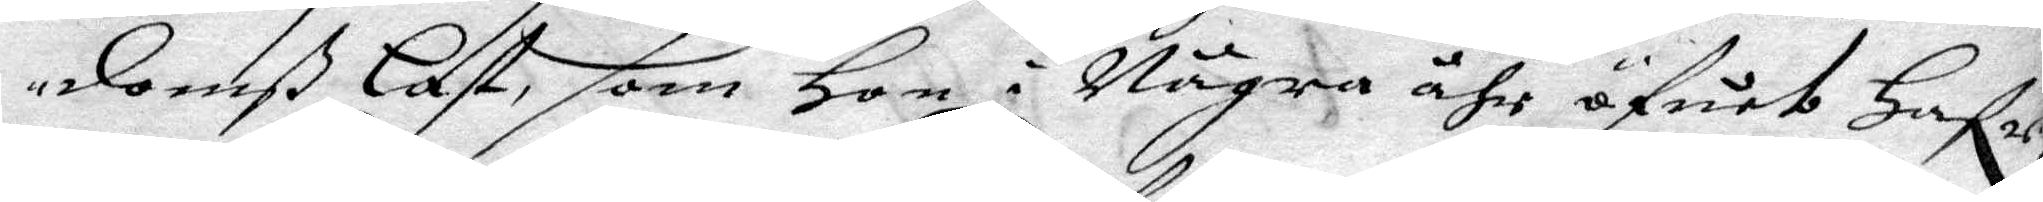domß Last, som Hon i Några åhr öfuet Hafr.
